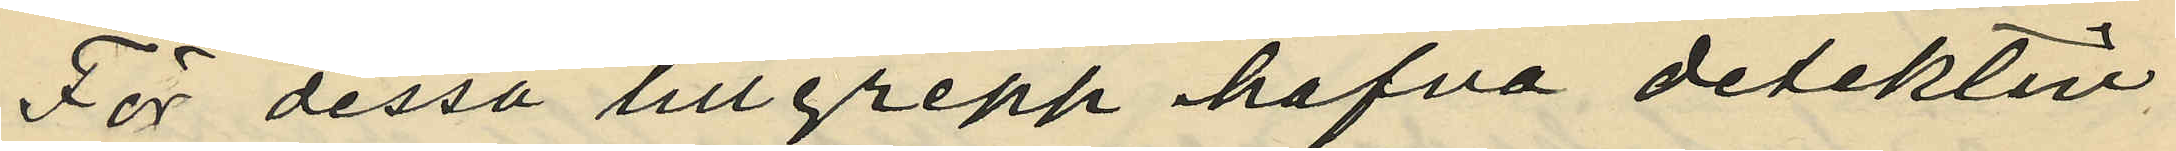För dessa tillgrepp hafva detektiv¬
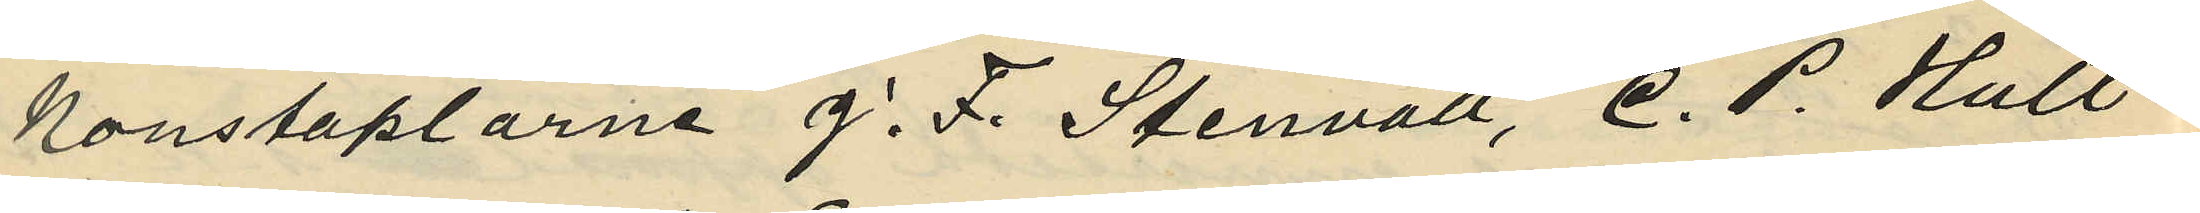konstaplarne J. F. Stenvall, C. P. Hult¬
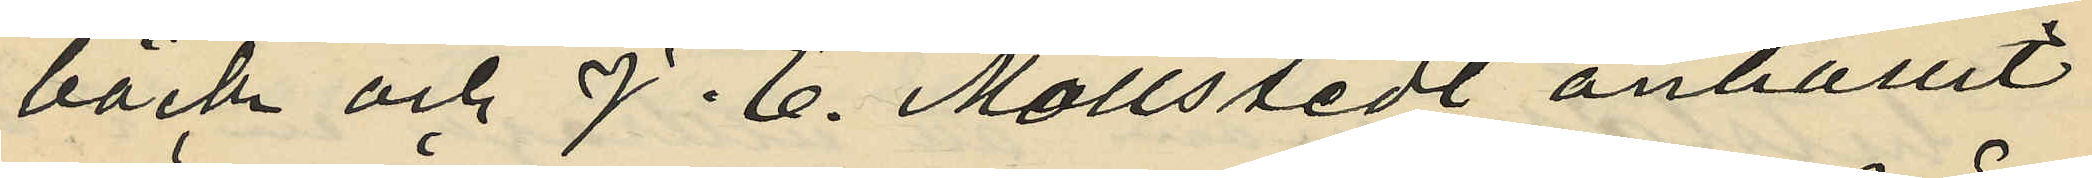bäck och J. E. Mollstedt anhållit
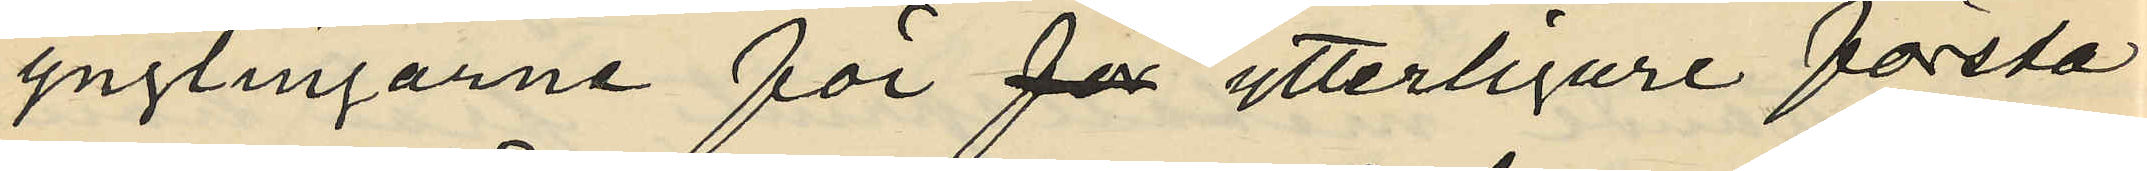ynglingarne för för ytterligare första
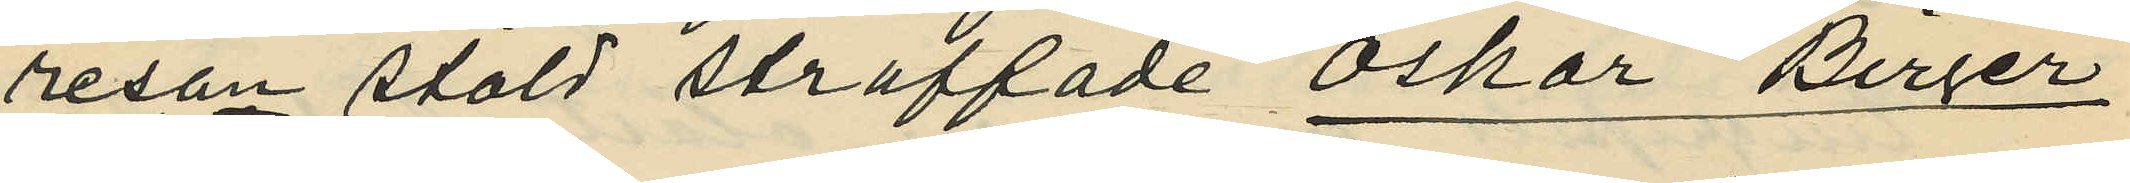resan stöld straffade Oskar Birger
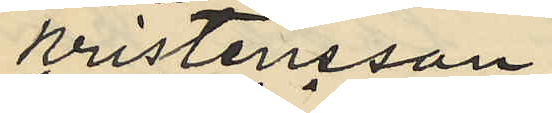Kristensson,
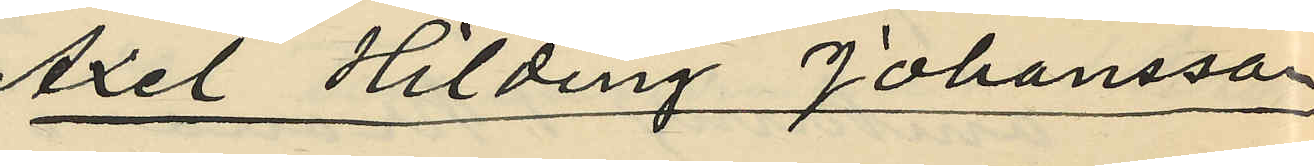 Axel Hilding Johansson
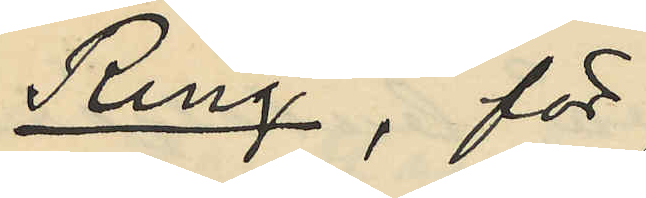Ring, för
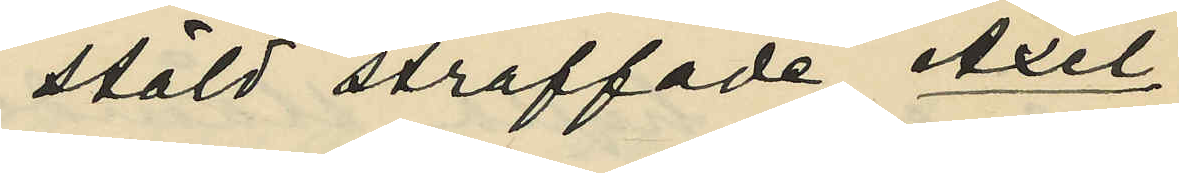stöld straffade Axel
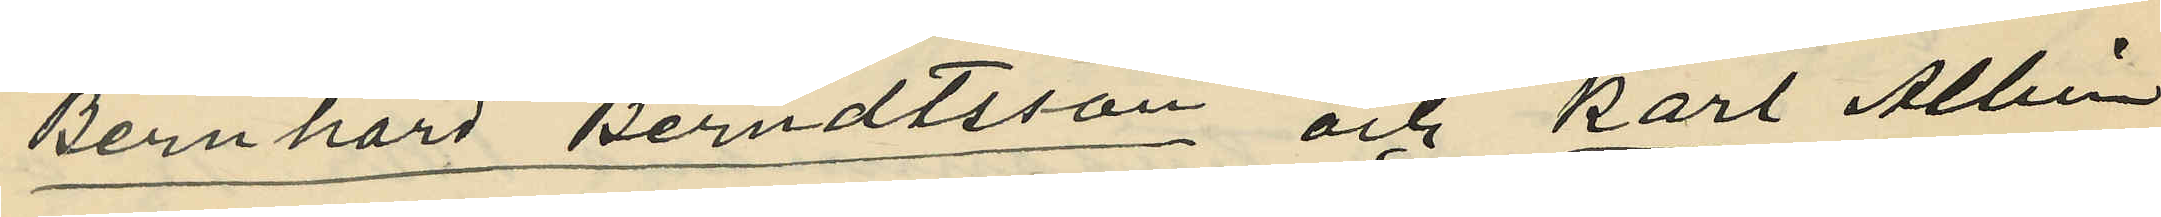Bernhard Berndtsson och Karl Albin
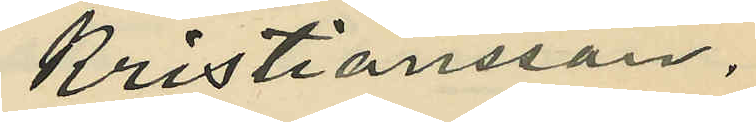Kristiansson.
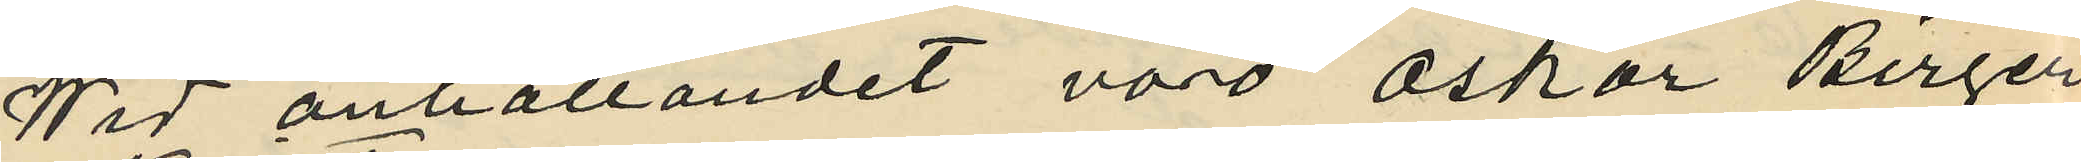Wid anhållandet voro Oskar Birger
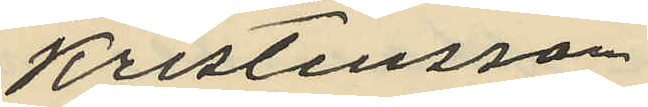Kristensson
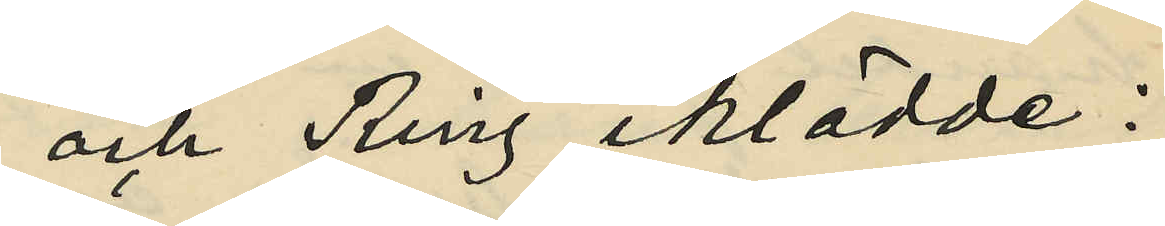och Ring iklädde:
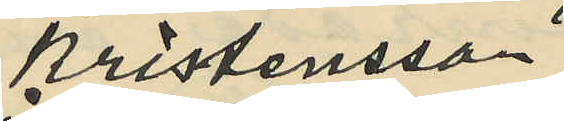Kristensson
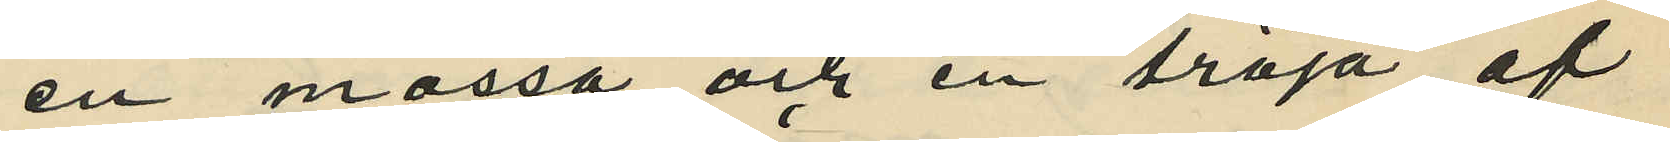en mössa och en tröja af
